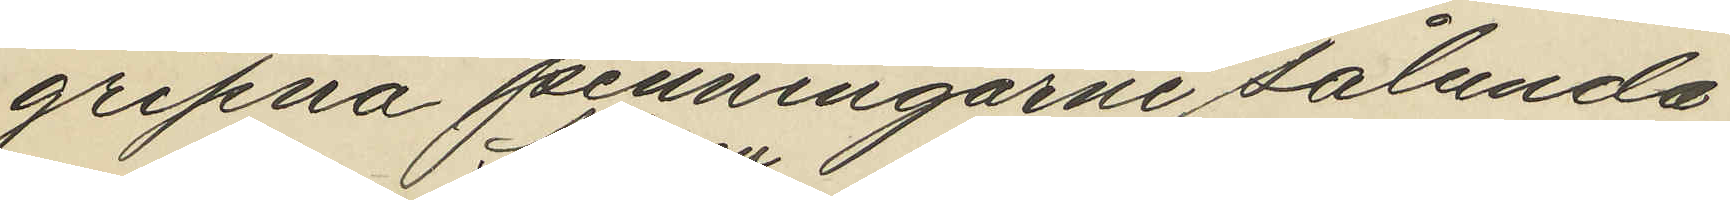gripna penningarne sålunda
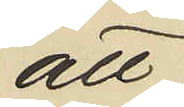att
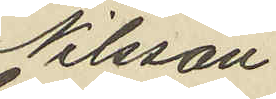Nilsson.
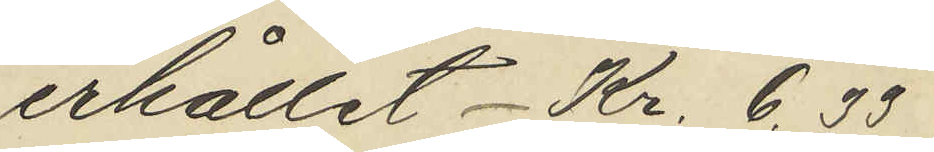erhållit Kr. 6,33
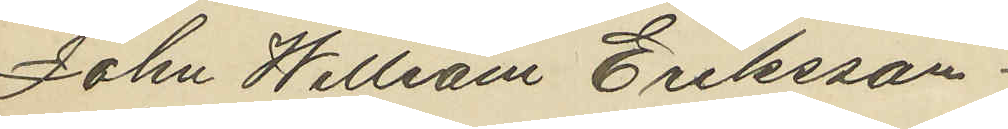John Willsam Eriksson:
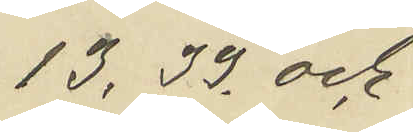13,33 och
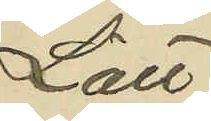Lätt
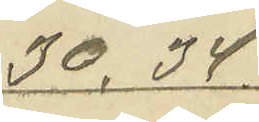30,34.
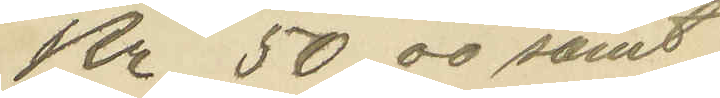Kr. 50,00 samt
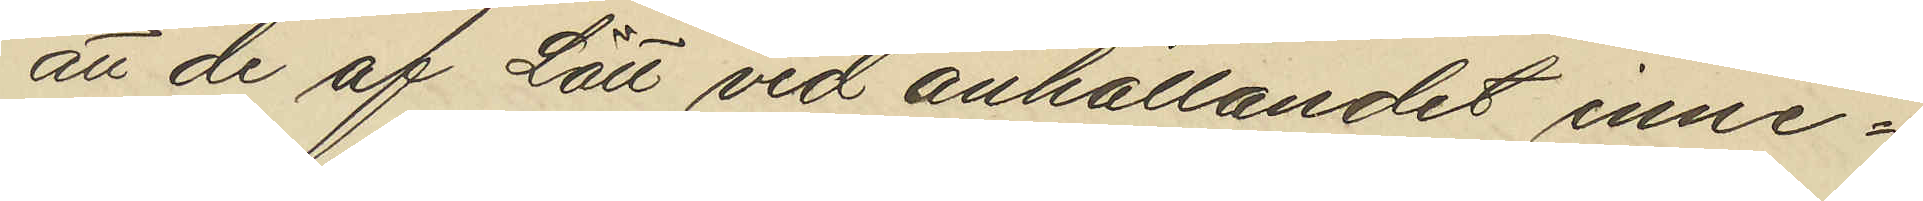att de af Lätt vid anhållandet inne¬
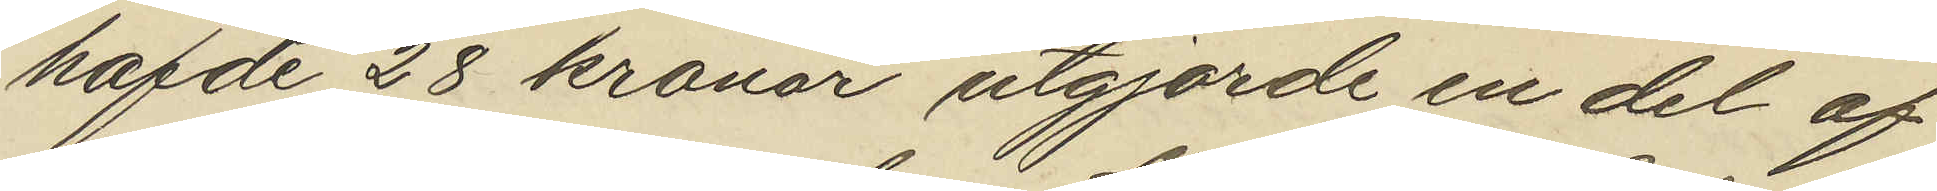hafde 28 kronor utgjorde en del af
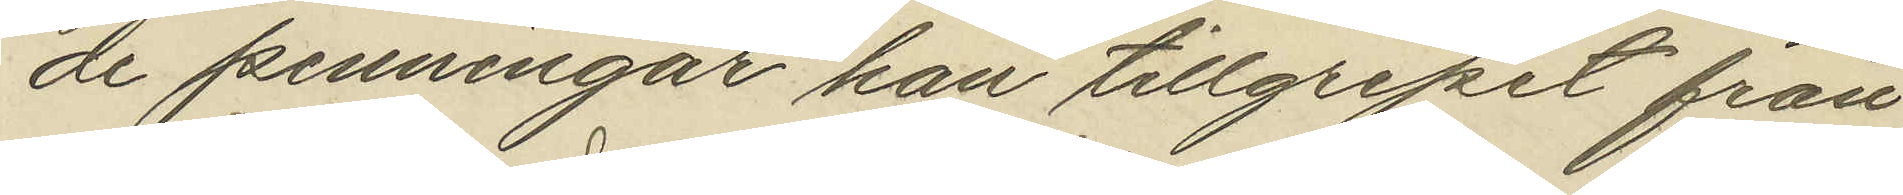de penningar han tillgripit från
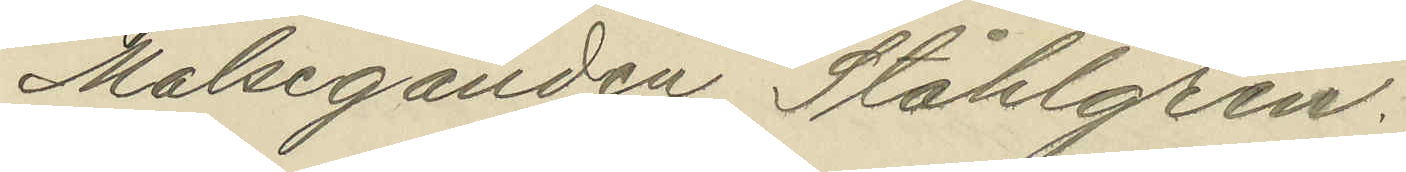Målseganden Ståhlgren:
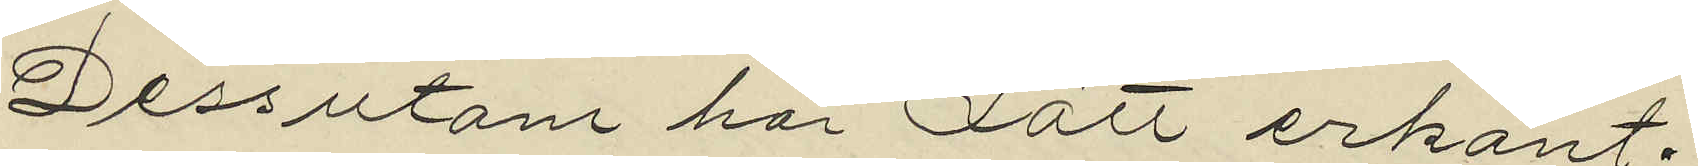Dessutom har Lätt erkänt.
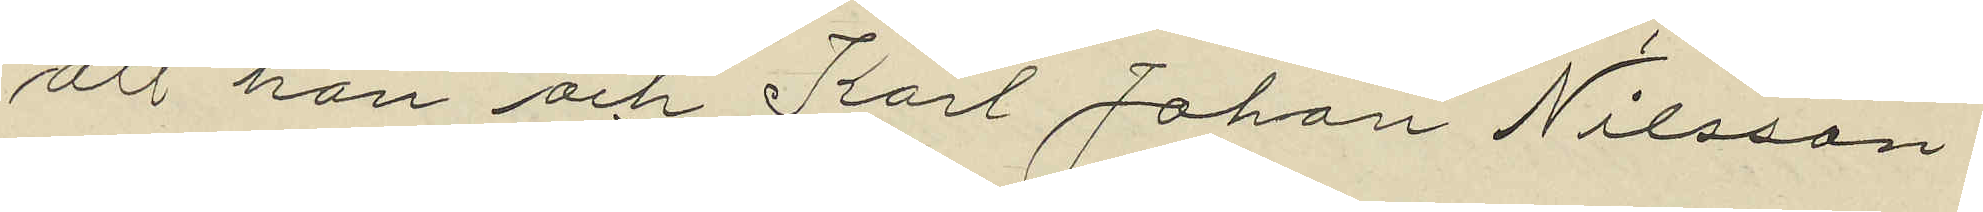att han och Karl Johan Nilsson
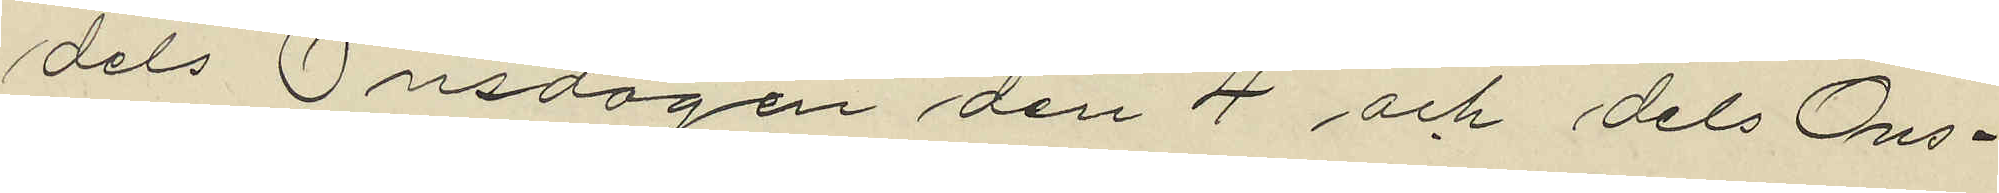dels Onsdagen den 4 och dels Ons¬
